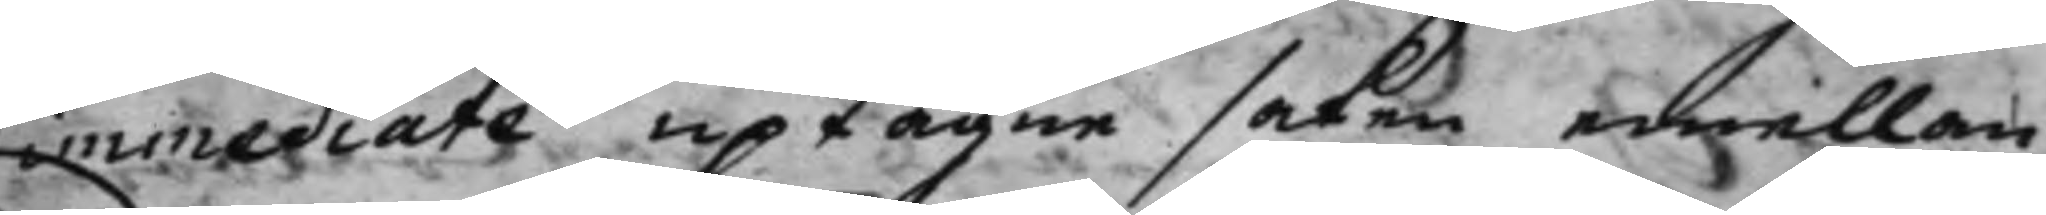immediate uptagne saken emellan
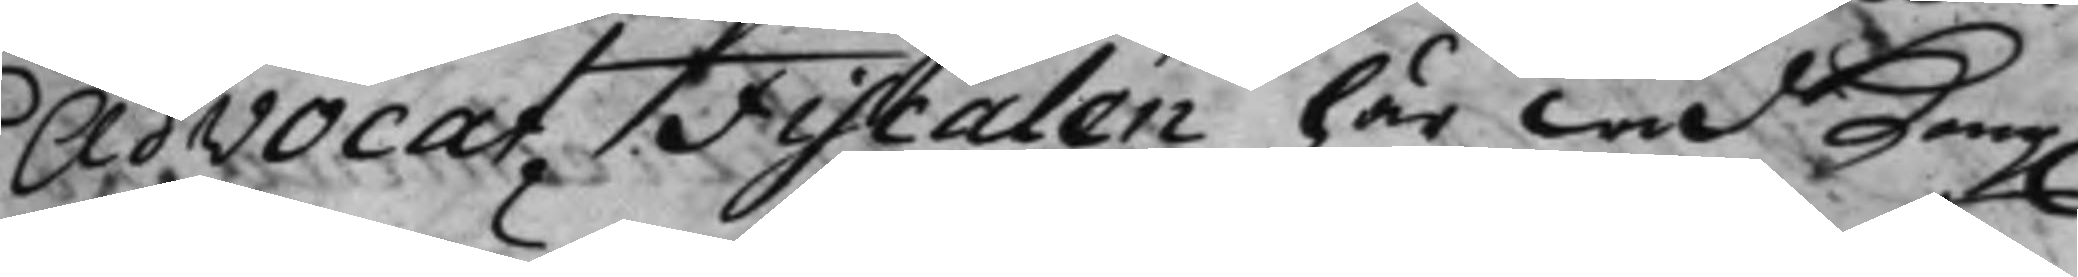AdvocatFiscalen här wid Kong.
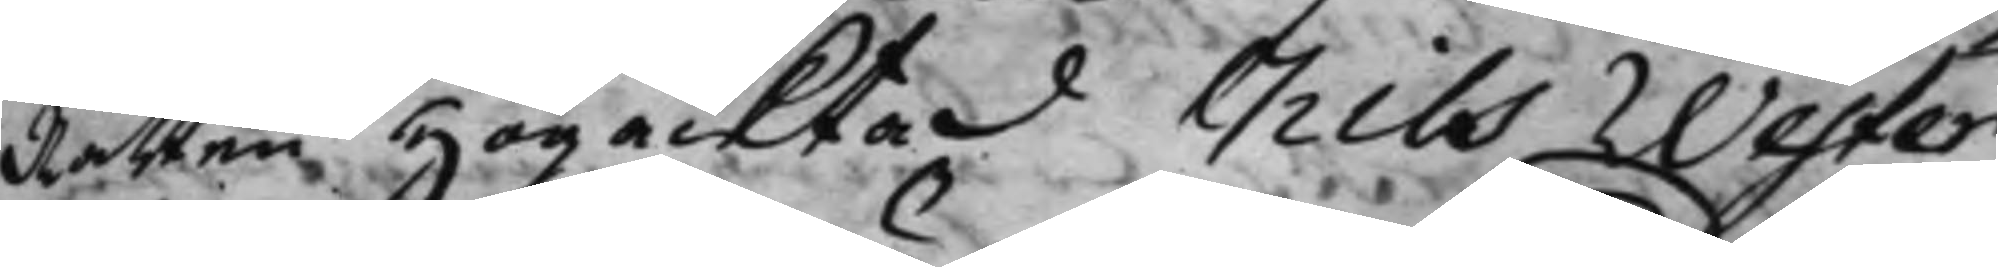Rätten Högacktad Nils Wester
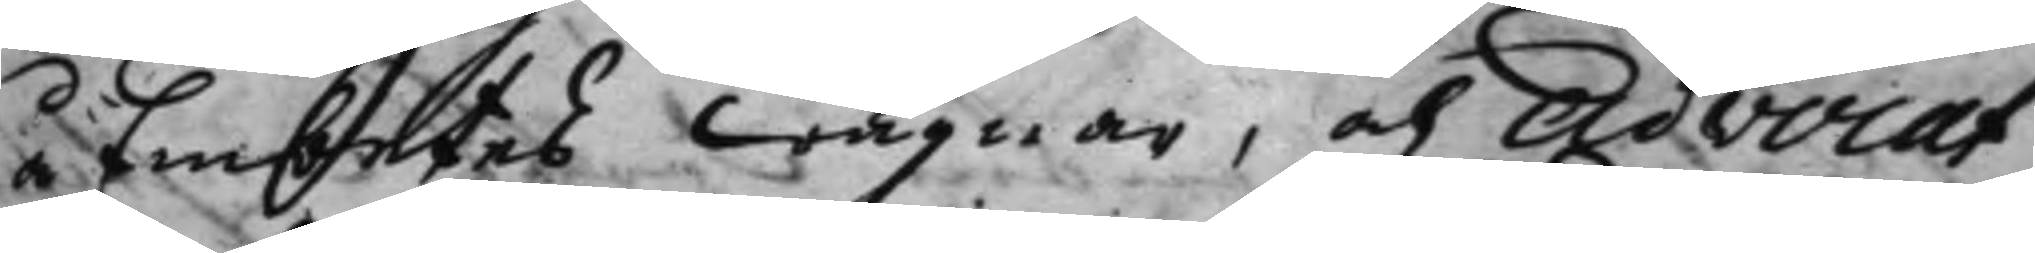å Embetes wägnar, och Advocat¬
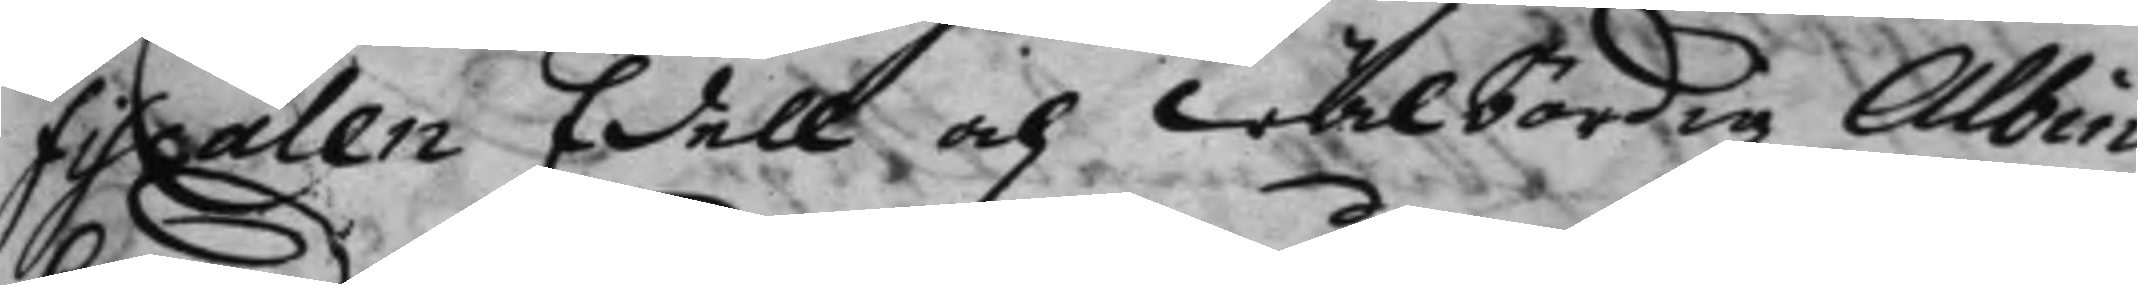fiscalen Edell och Wälbördig Albin
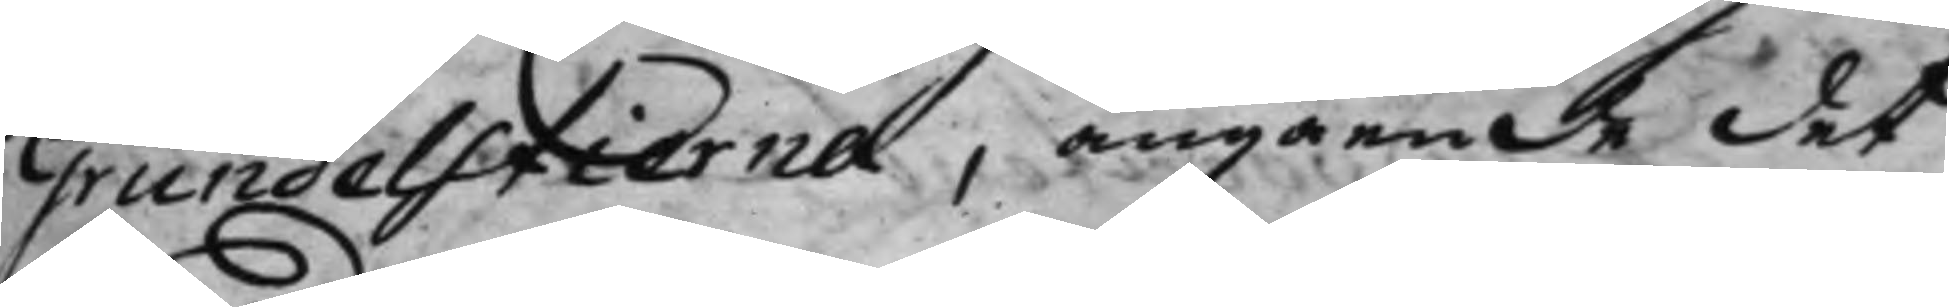Grundelstierna, angående det
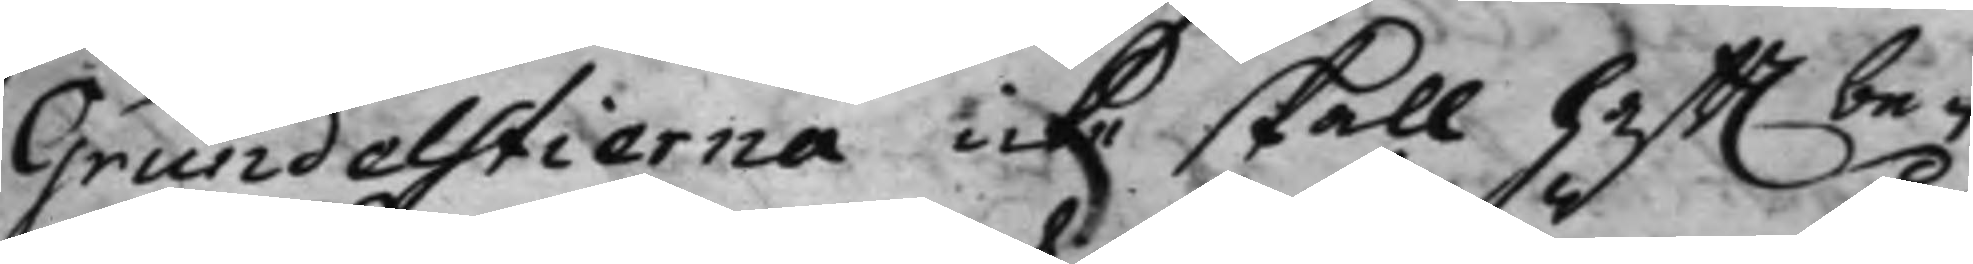Grundelstierna icke skall hafft be¬
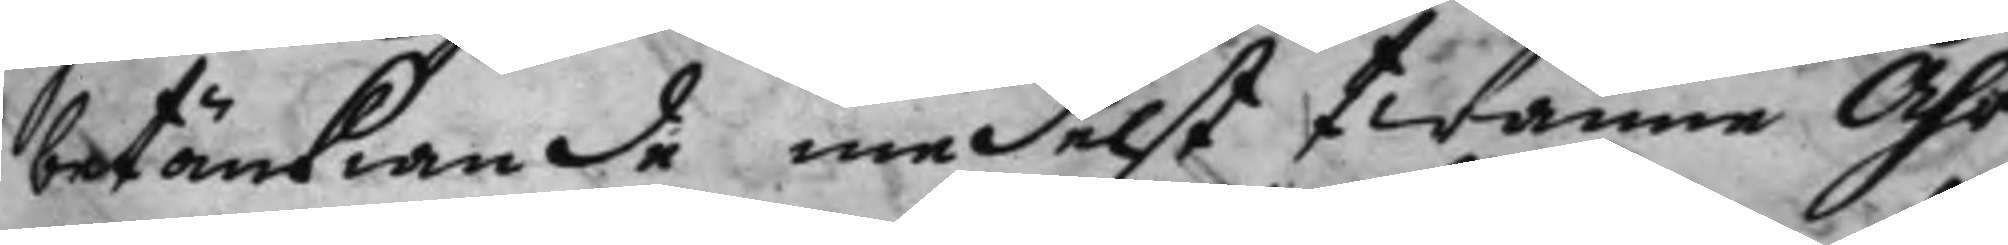betänkiande medelst twänne Åhr
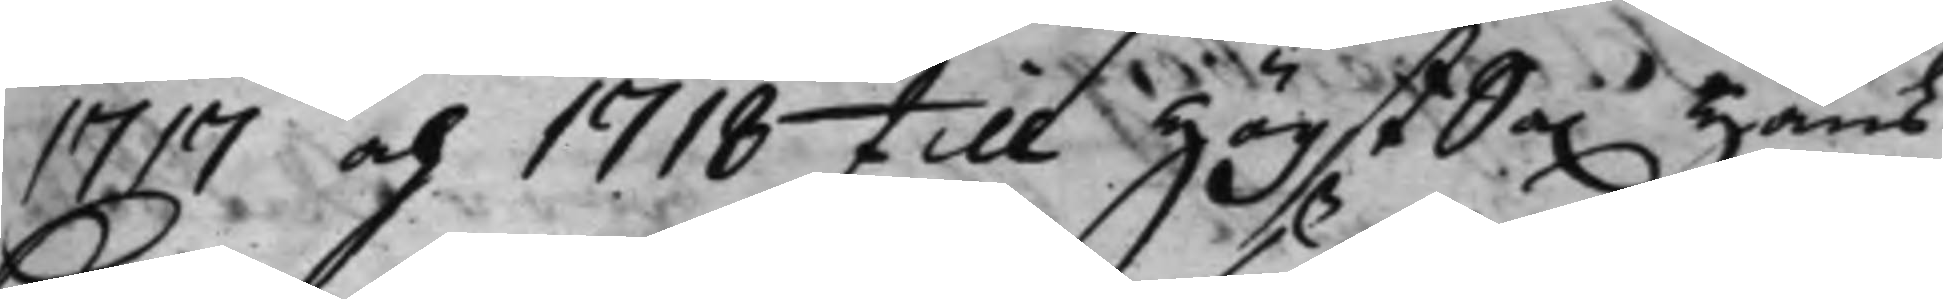1717 och 1718 till HögstSa. Hans 
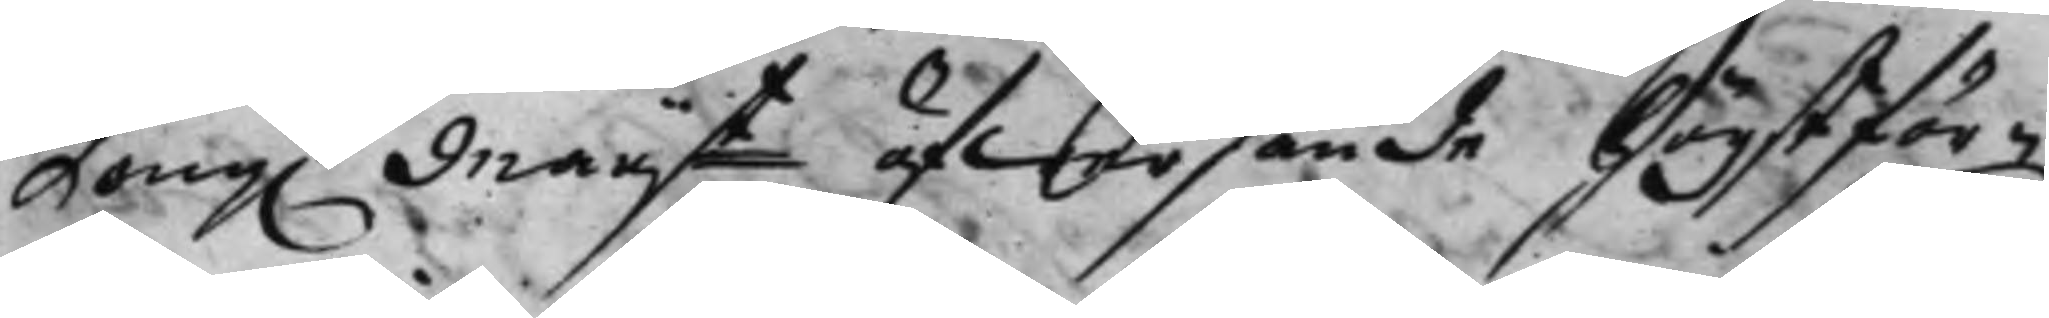Kong. Maij.t öfwersände Högstför¬ 
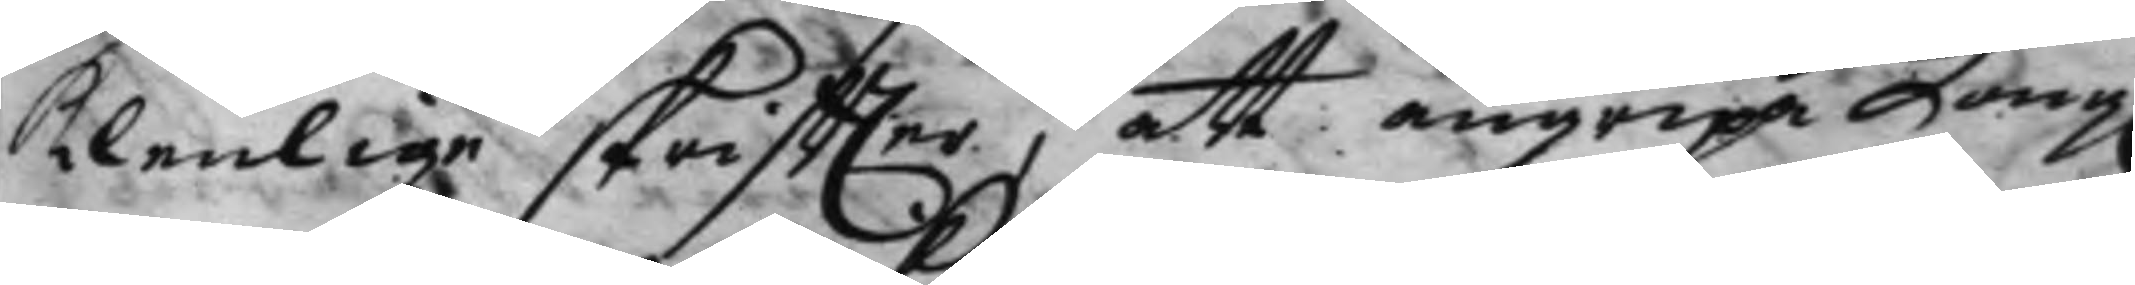klenlige skriffter, att angripa Kong. 
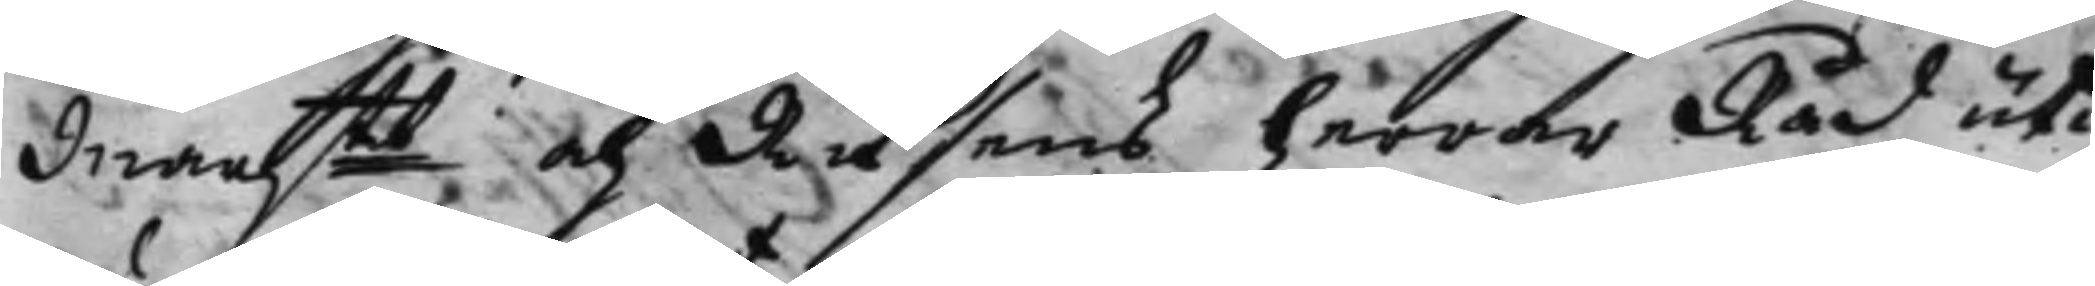Maijtt och Riksens Herrar Råd uti 
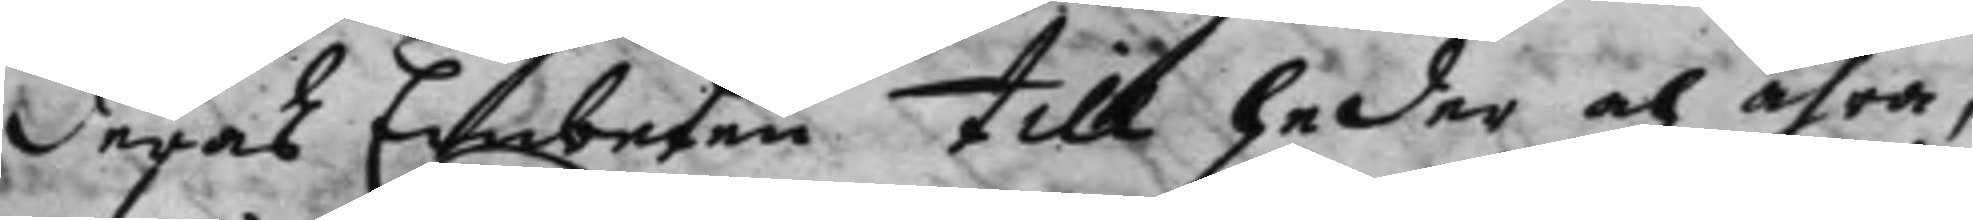deras Embeten till heder och ähra,
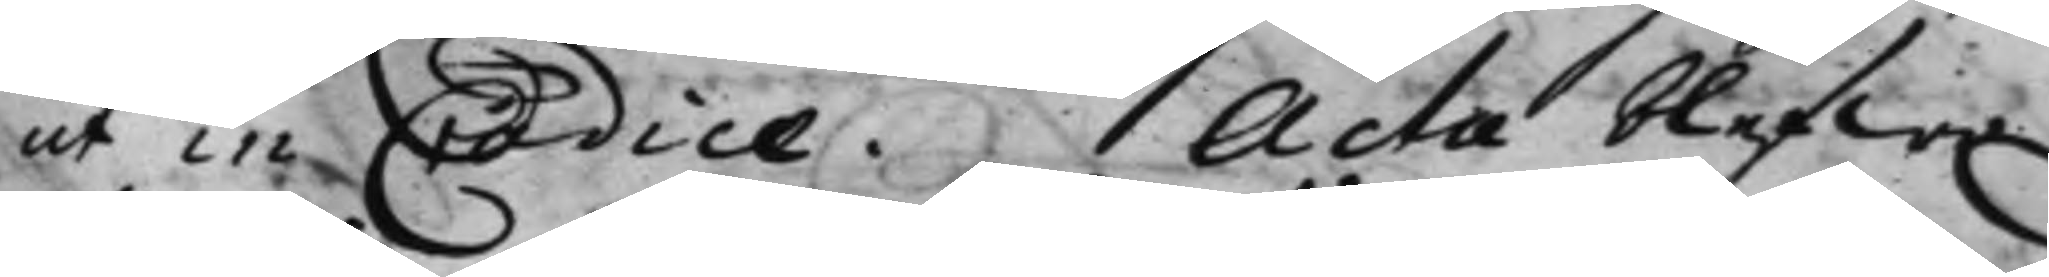ut in Codice. Acta blefwo
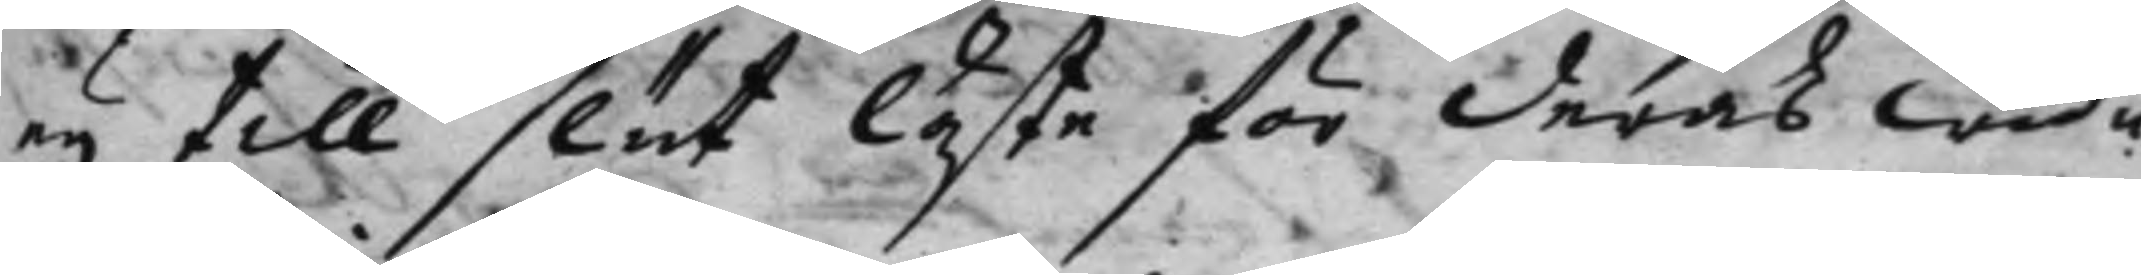eij till slut läste för deras wed¬
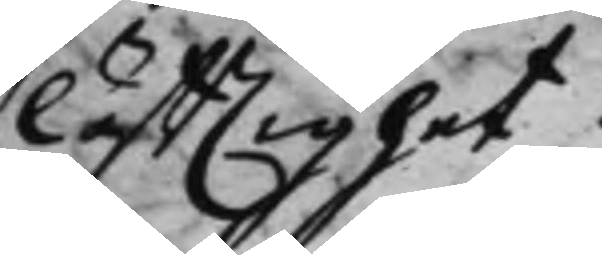lyfftighet.
